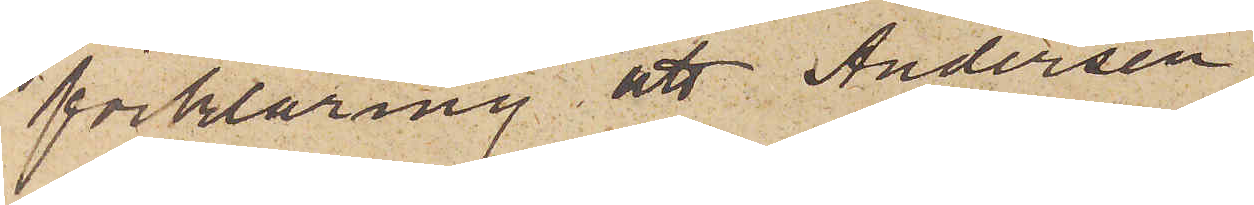förklaring, att Andersen
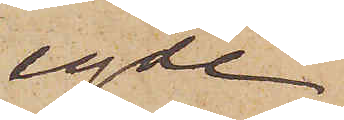egde
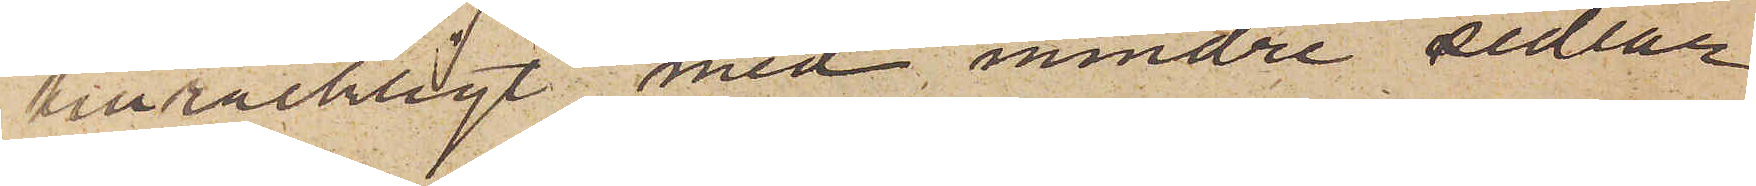tillräckligt med mindre sedlar
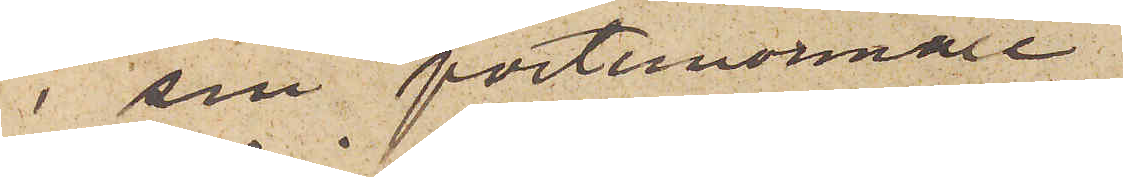i sin portmonnaie;
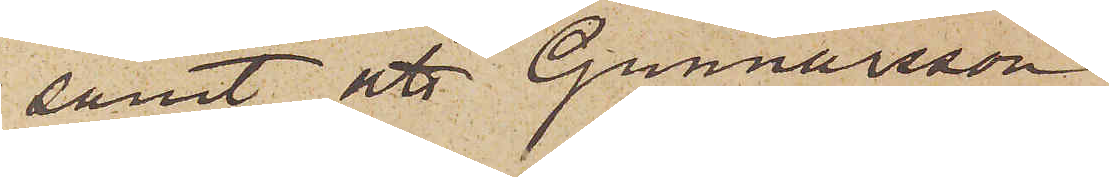samt att Gunnarsson
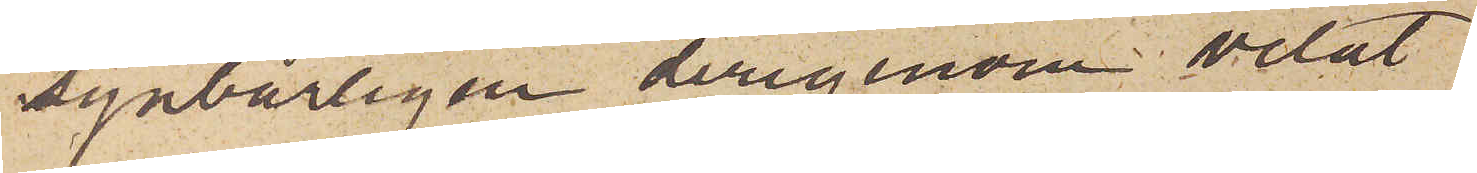synbarligen derigenom velat
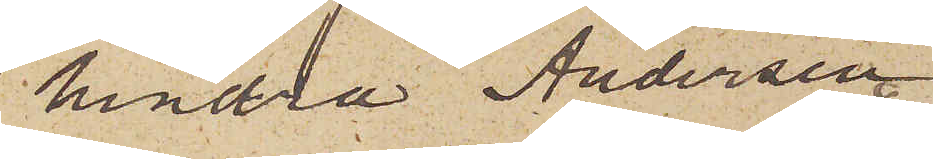hindra Andersen
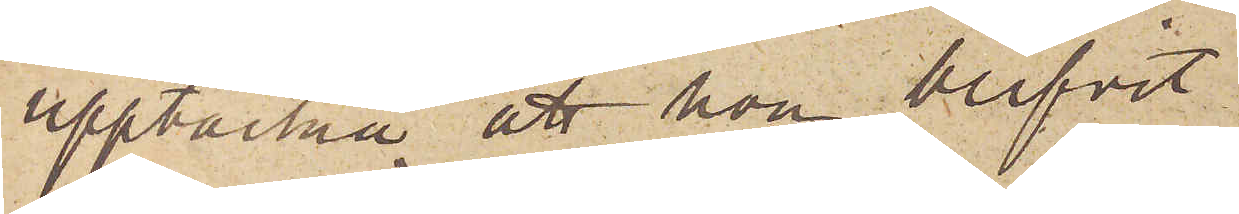upptäcka att hon blifvit
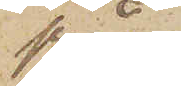från¬
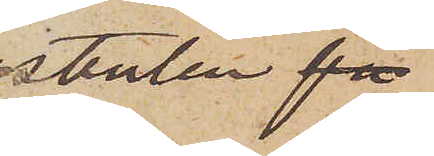stulen fö
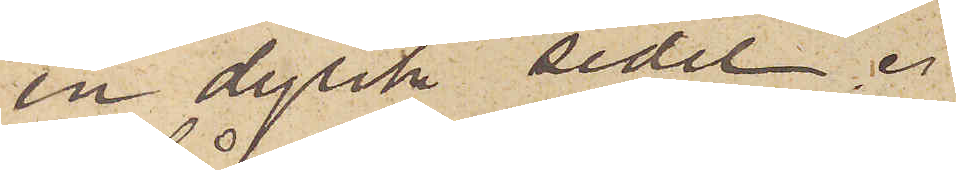en dylik sedel.
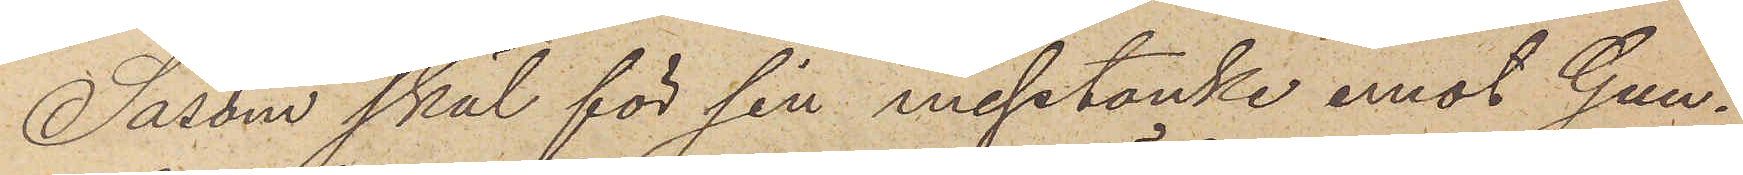Såsom skäl för sin misstanke emot Gun¬
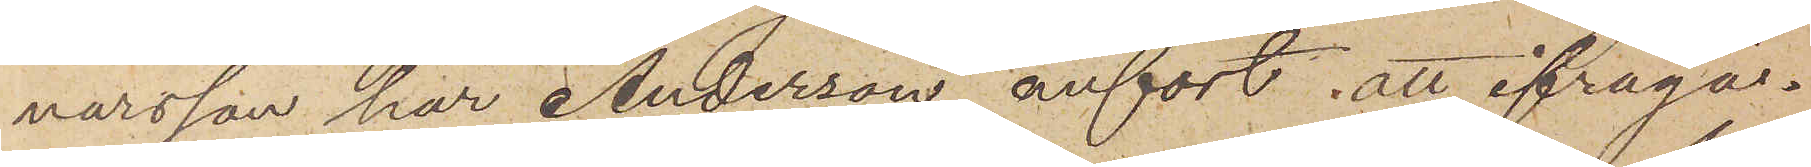narsson har Andersen, anfört att ifråga¬
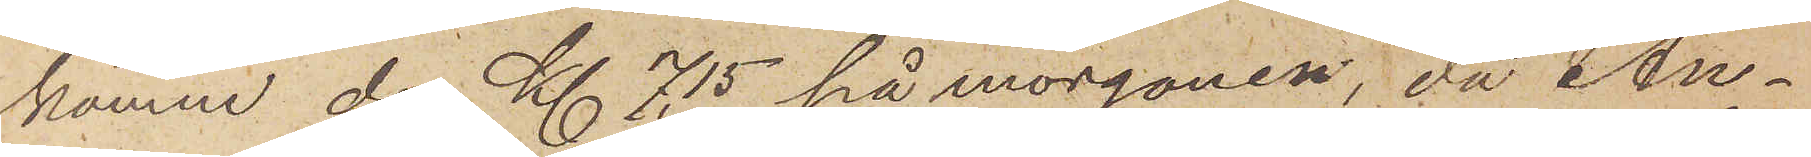komne dag Kl 7,15 på morgonen, då An¬
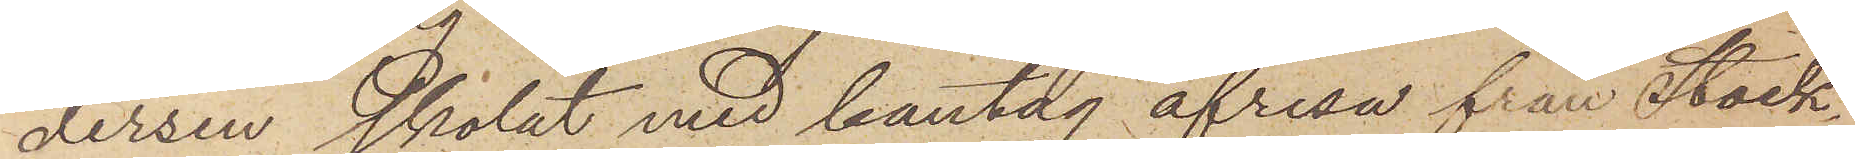dersen skolat med bantåg afresa från Stock¬
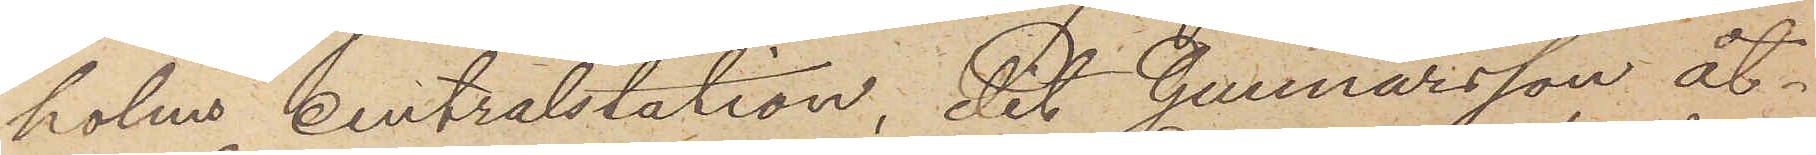holms Centralstation, dit Gunnarsson åt¬
